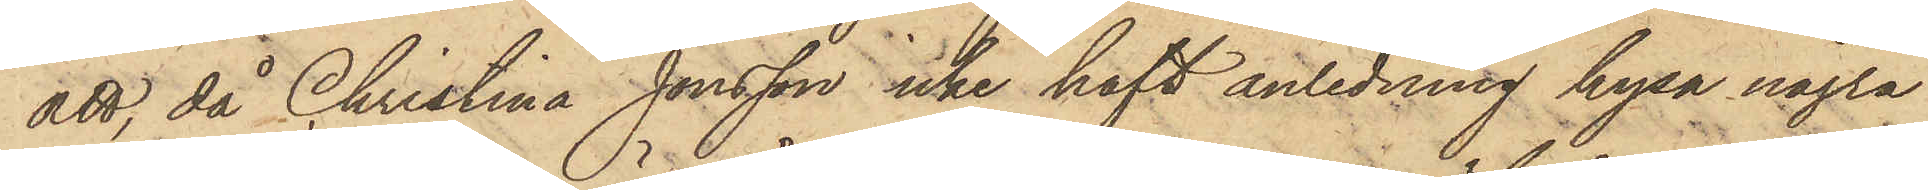att, då Christina Jonsson icke haft anledning hysa några
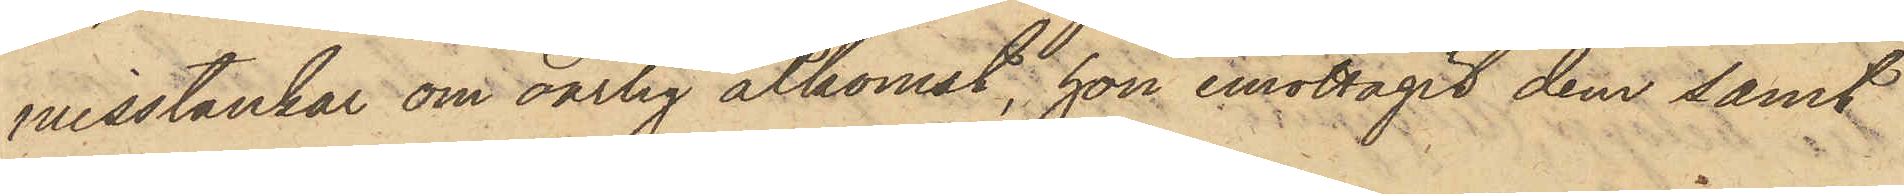misstankar om oärlig åtkomst, hon emottagit dem samt
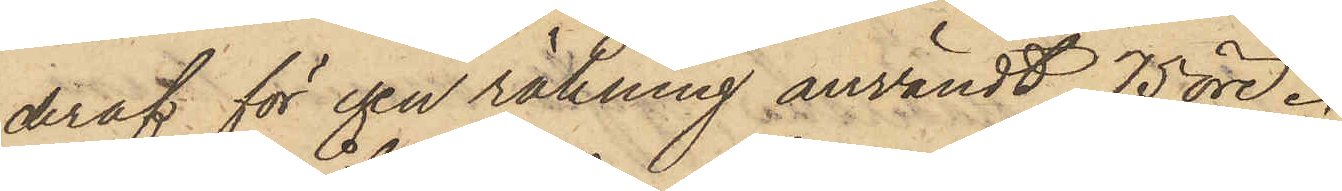deraf för egen räkning användt 75 öre.
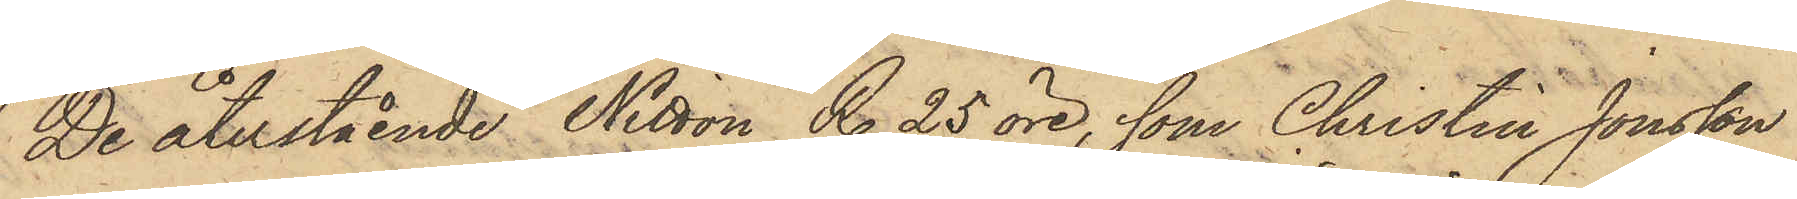De återstående Nitton R. 25 öre, som Christin Jonsson
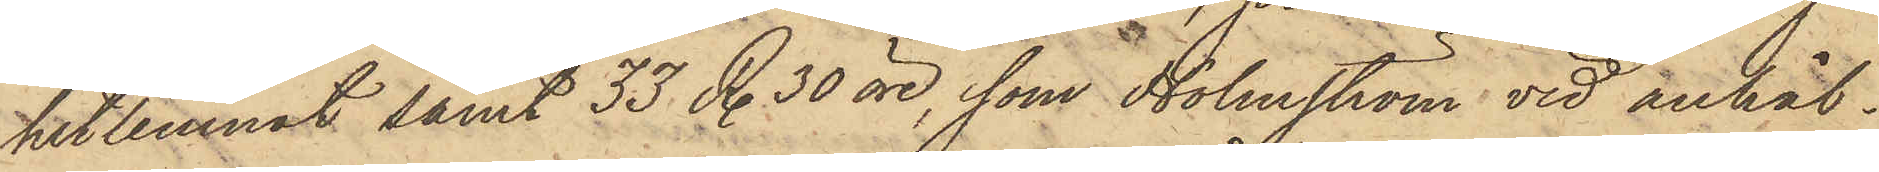hitlemnat samt 33 R. 30 öre, som Holmström vid anhål¬
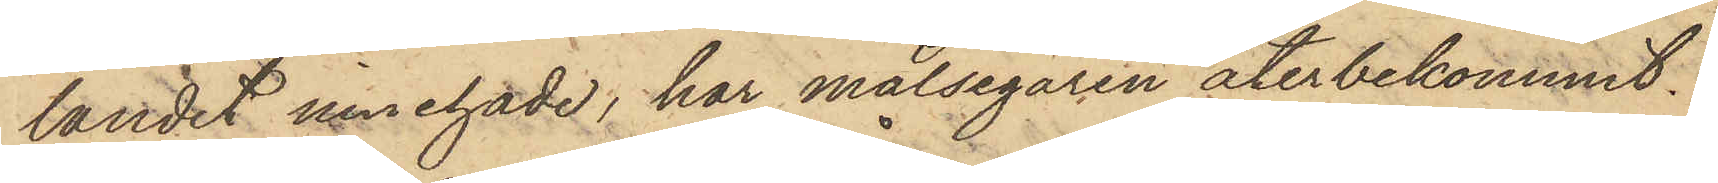tandet innehade, har målsegaren återbekommit.
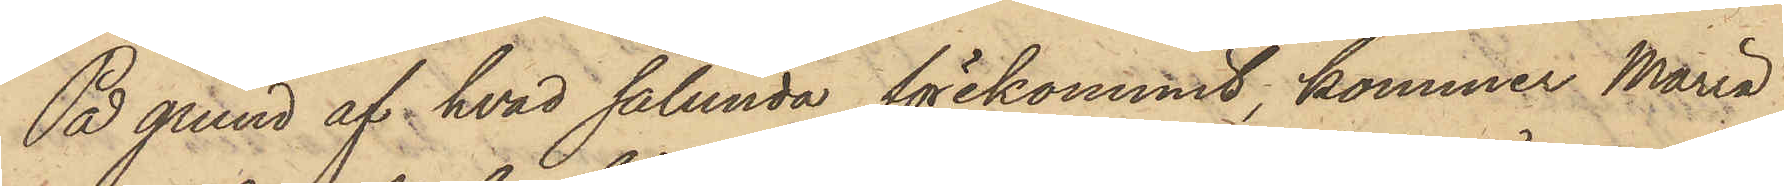På grund af hvad sålunda förekommit, kommer Maria
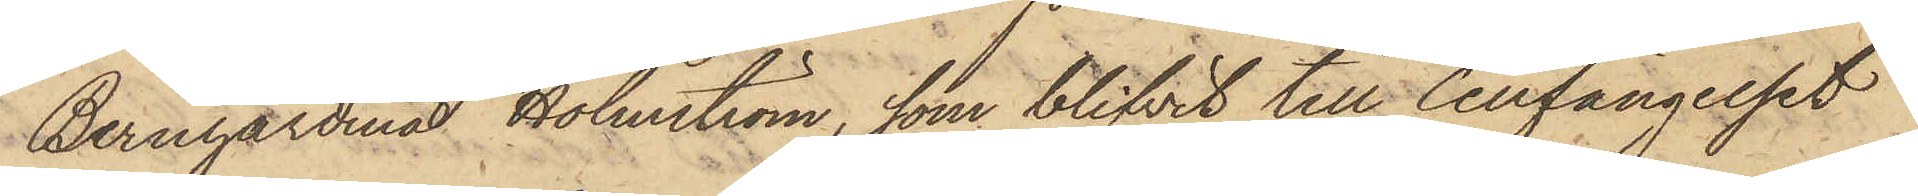Bernhardina Holmström, som blifvit till Cellfängelset
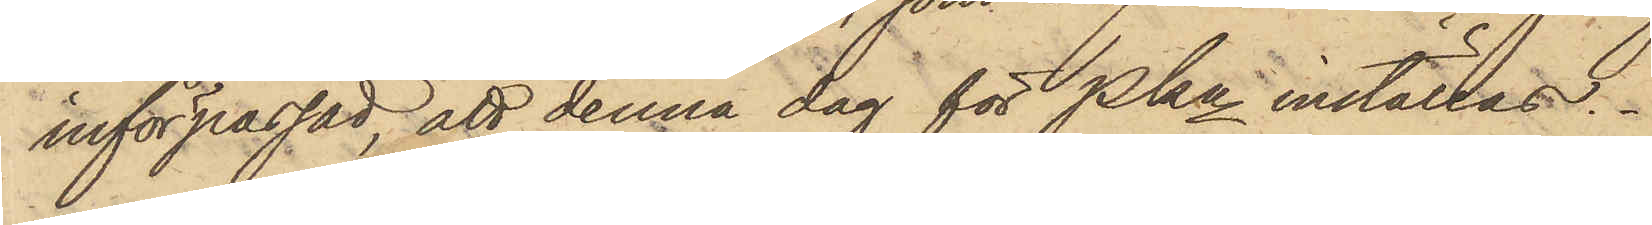införpassad, att denna dag för Pkn inställas.
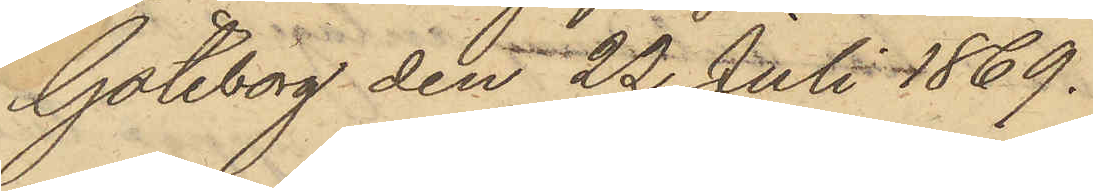Göteborg den 22 Juli 1869.
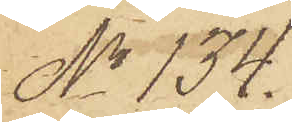No 134.
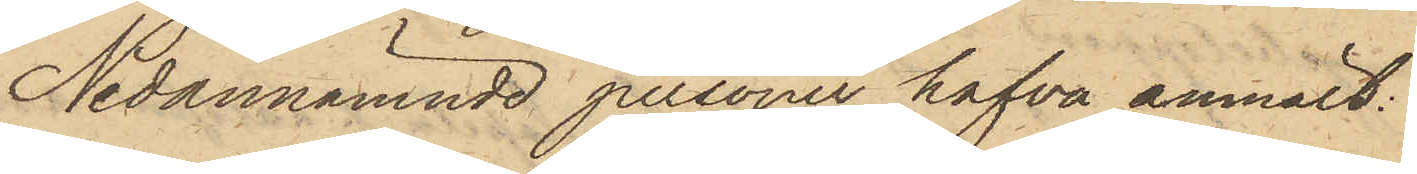Nedannämnde personer hafva anmält:
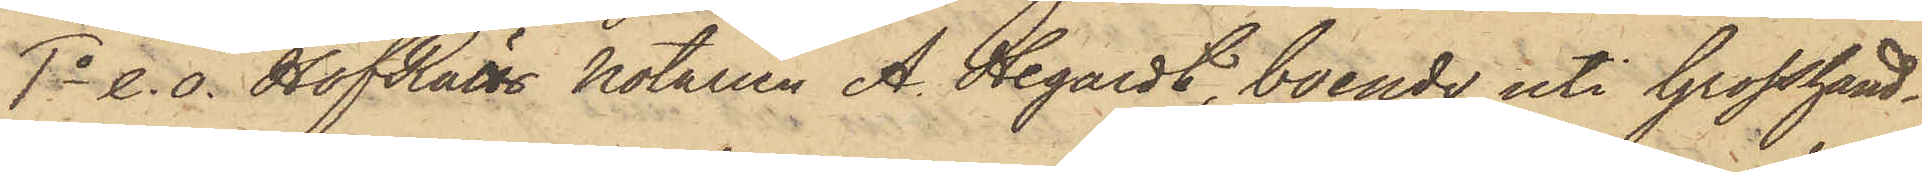1o e. o. HofRätts Notarien A. Hegardt, boende uti Grosshand¬
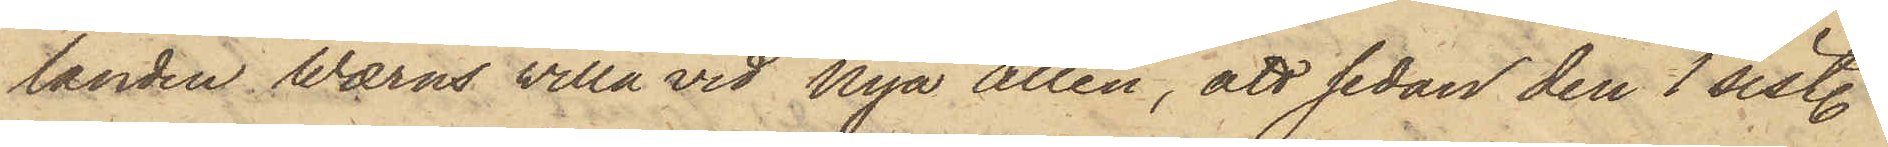landen Wærns villa vid Nya Allén, att sedan den 1 sistl.
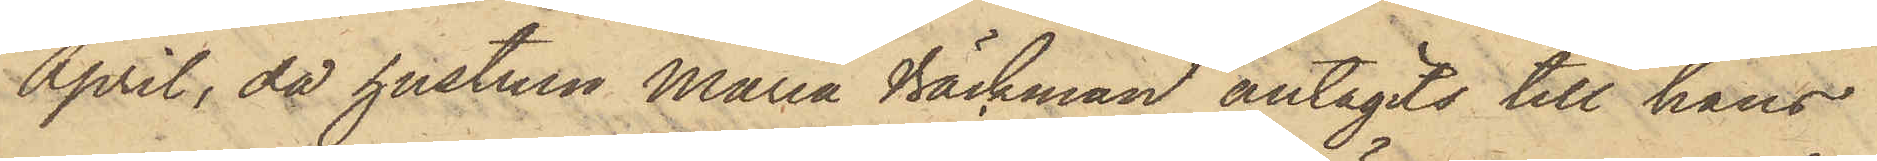April, då hustrun Maria Bäckman antagits till hans
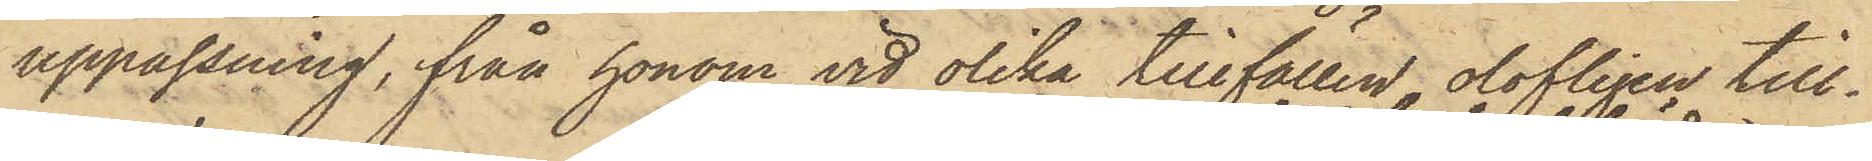uppassning, från honom vid olika tillfällen olofligen till¬
